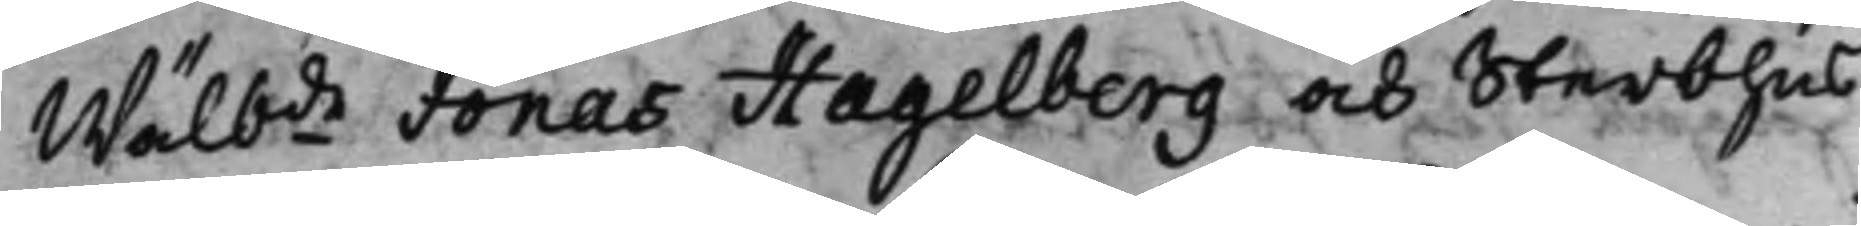Wälbde Jonas Hagelberg och Sterbhus
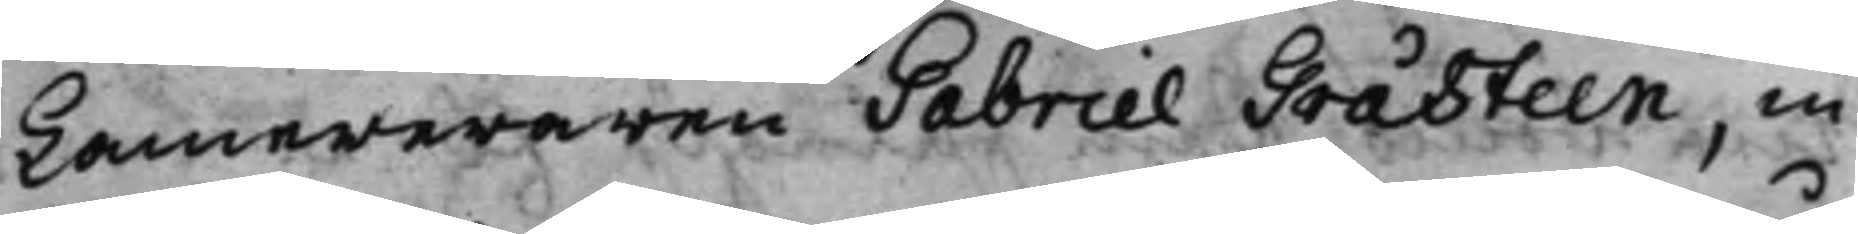Kamereraren Gabriel Gråsteen, in¬
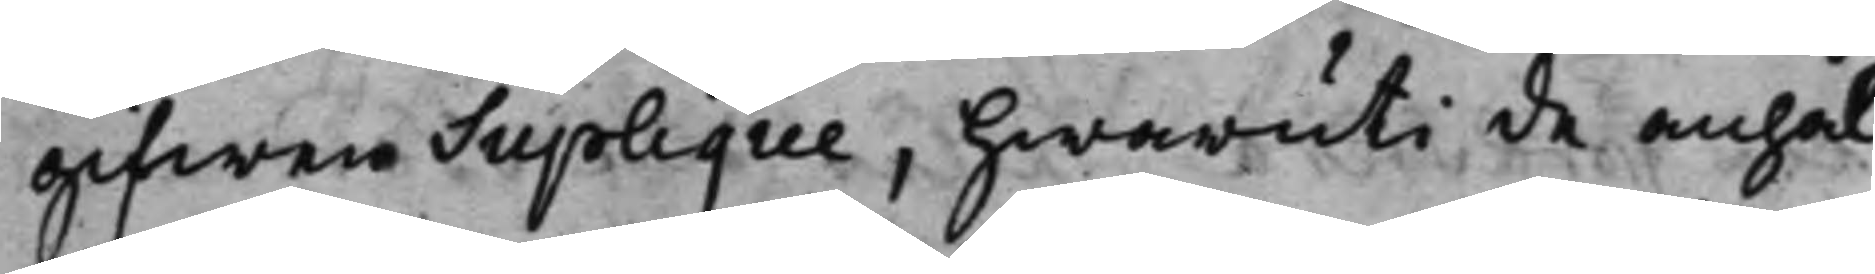gifwen Suplique, hwaruti de anhål¬
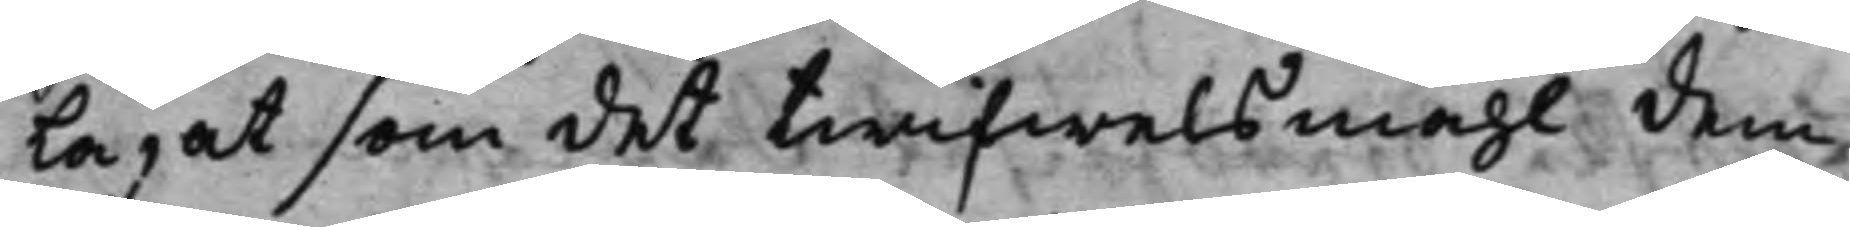la, at som det twifwelsmåhl dem
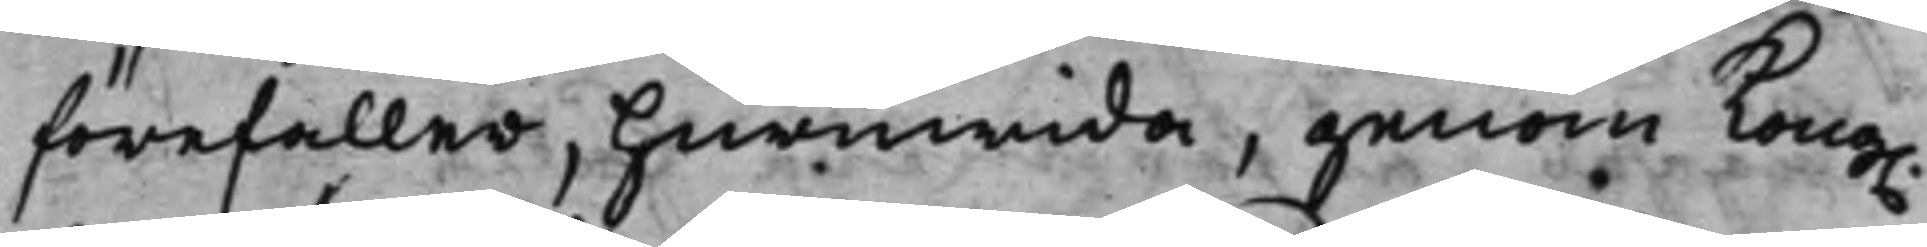förefaller, huruwida, genom Kong.
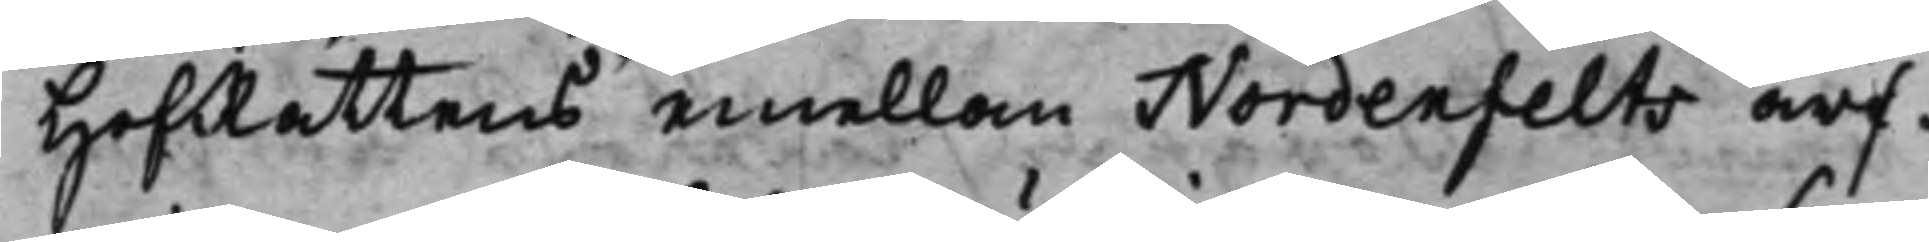HofRättens emellan Nordenfelts arf¬
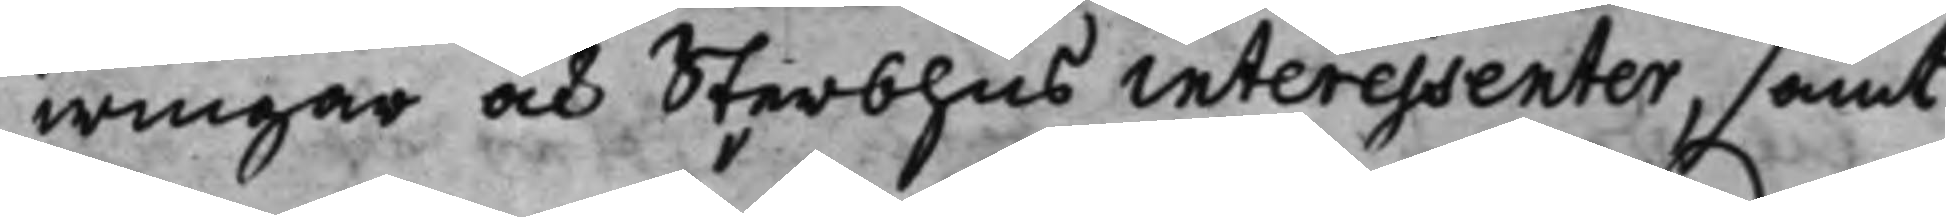wingar och Sterbhus interessenter, samt
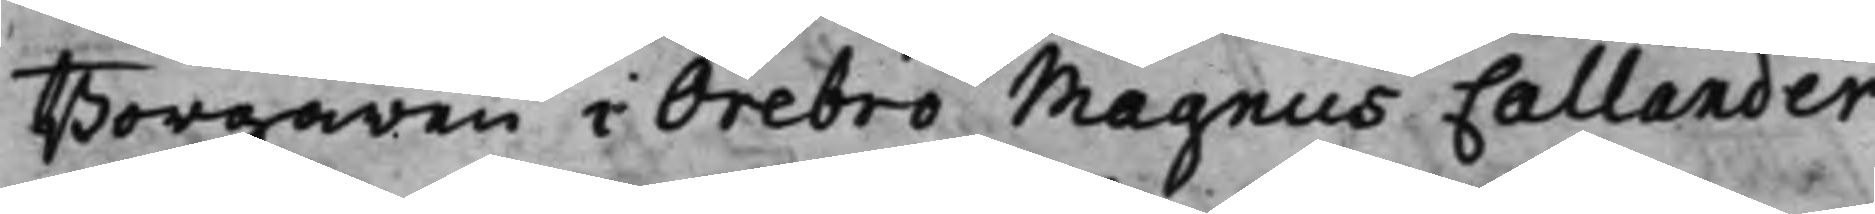Borgaren i Örebro Magnus Callander
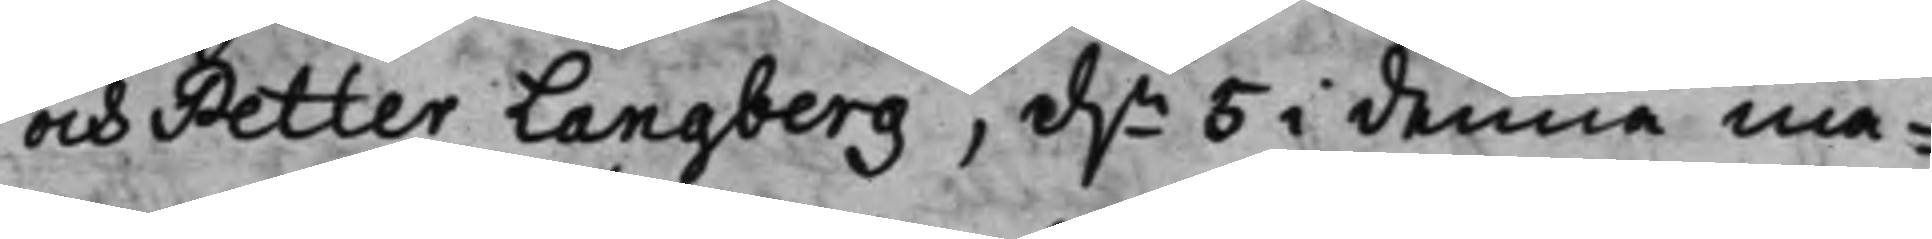och Petter Langberg, d.n 5 i denna må¬
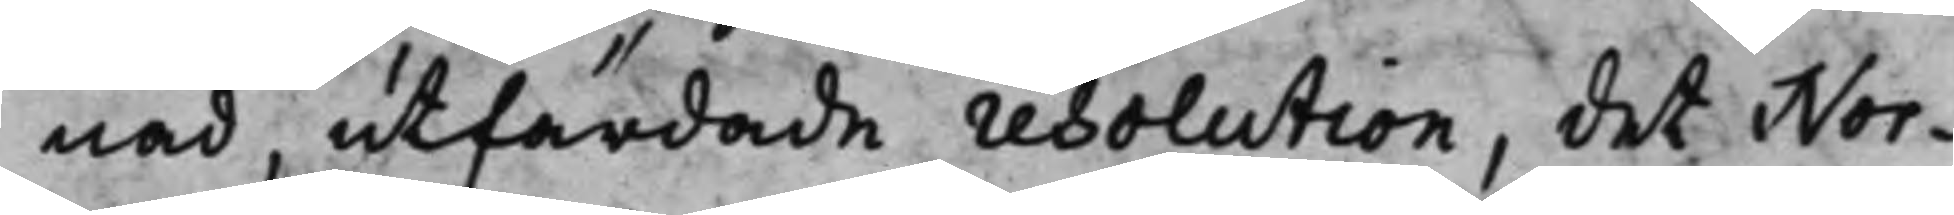nad, utfärdade resolution, det Nor¬
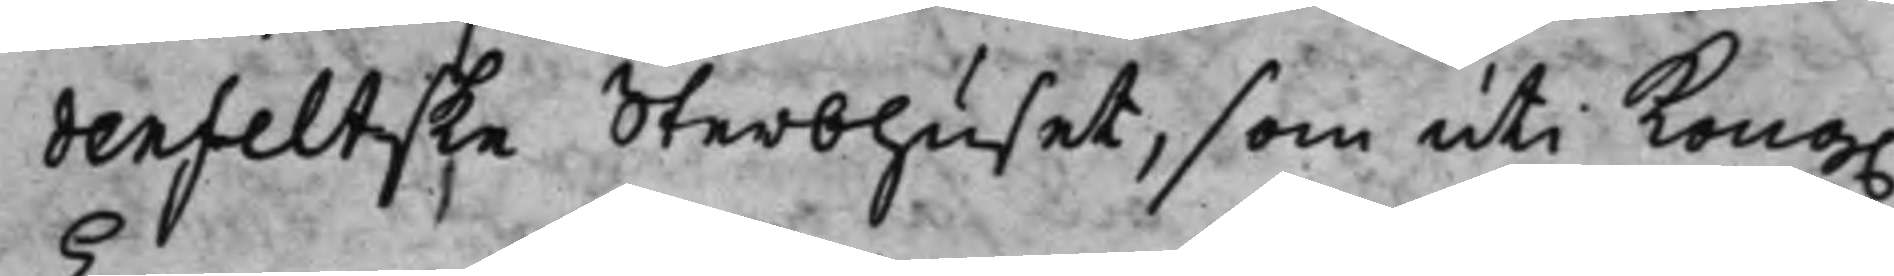denfeltske Sterbhuset, som uti Kong.
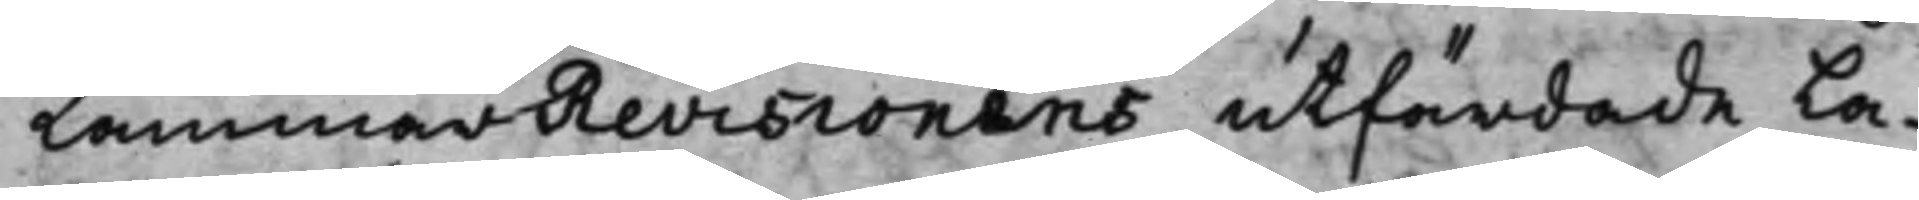CammarRevisionens utfärdade La¬
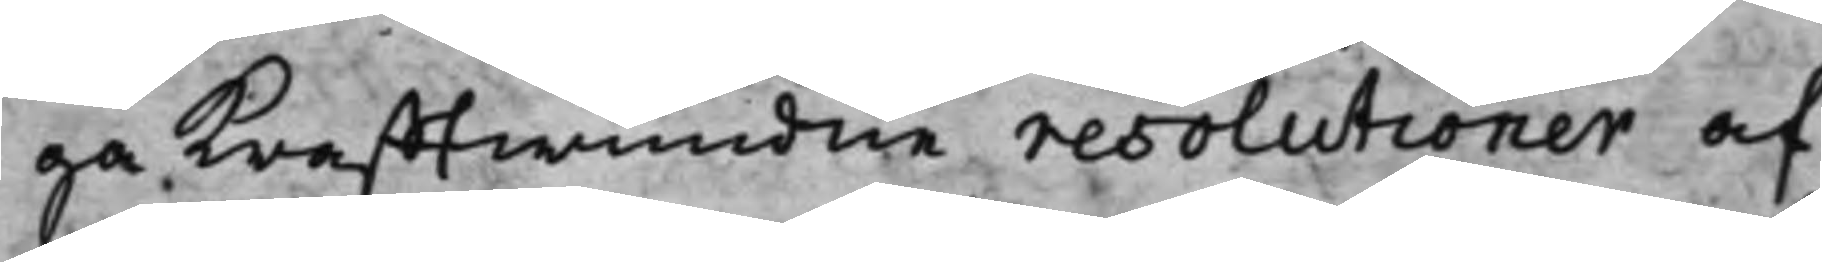ga krafftwundne resolutioner af
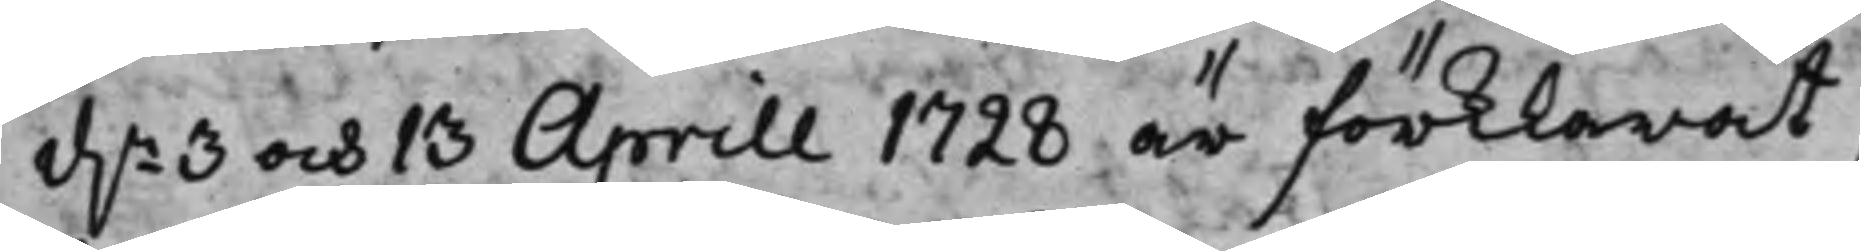d.n 3 och 13 Aprill 1728 är förklarat,
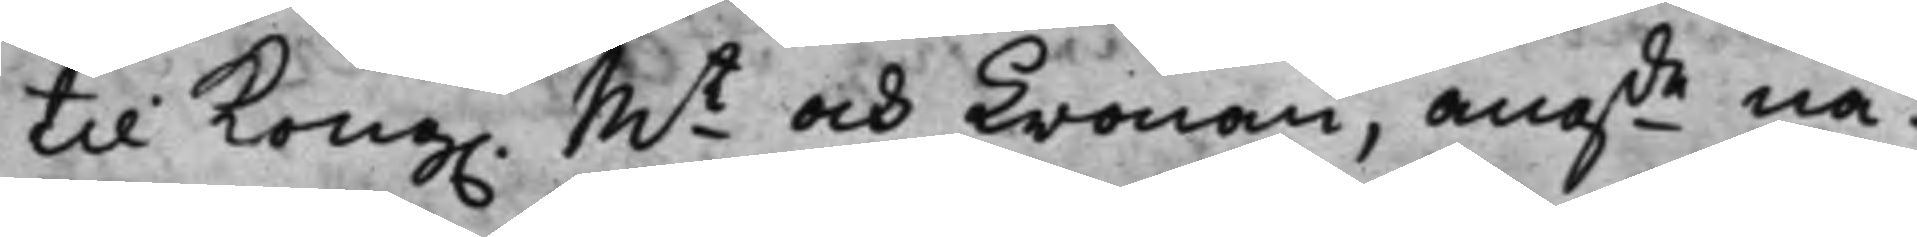til Kong. Mt och Cronan, angde nå¬
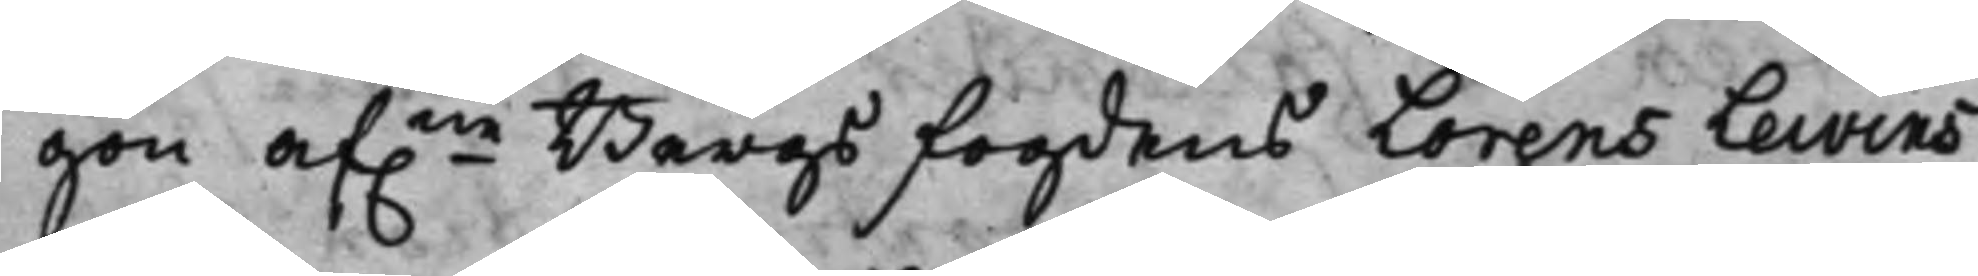gon af.ne Bergs fogdens Lorens Lewins
